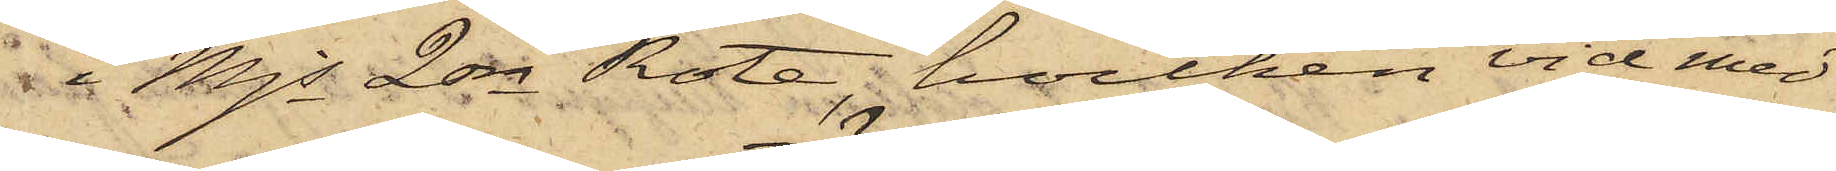i Mjs 2dra Rote, hvilken vid med
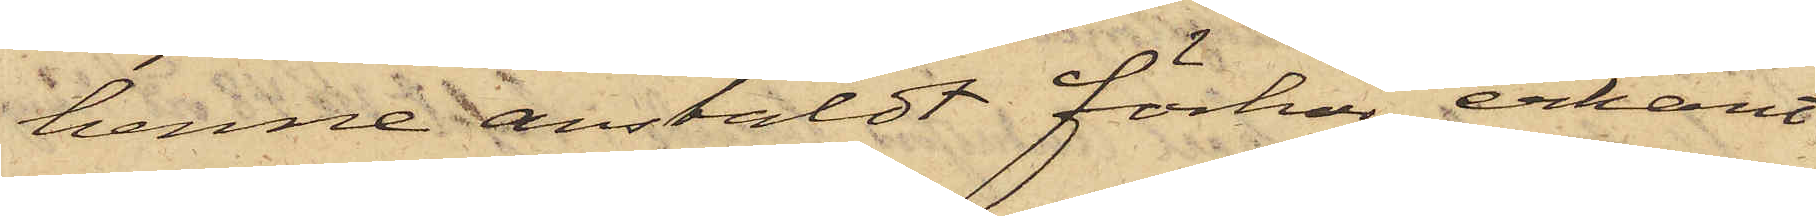henne anstäldt förhör, erkänt
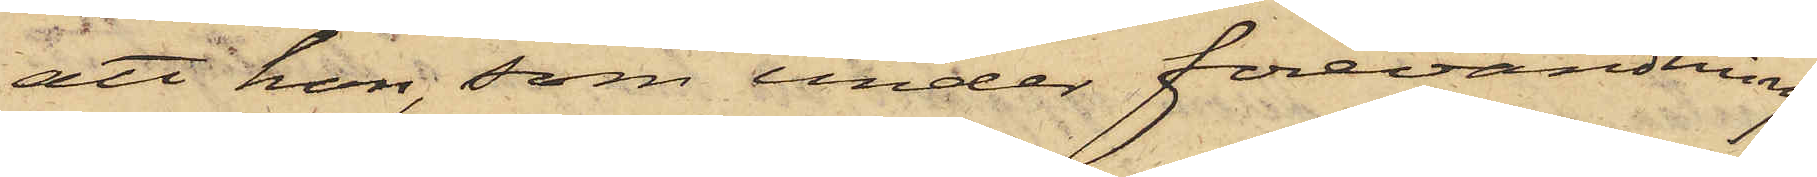att hon, som under förevändning
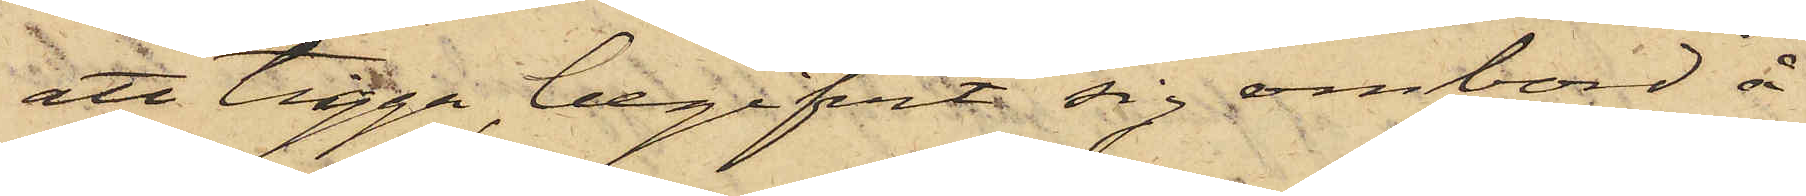att tigga, begifvit sig ombord å
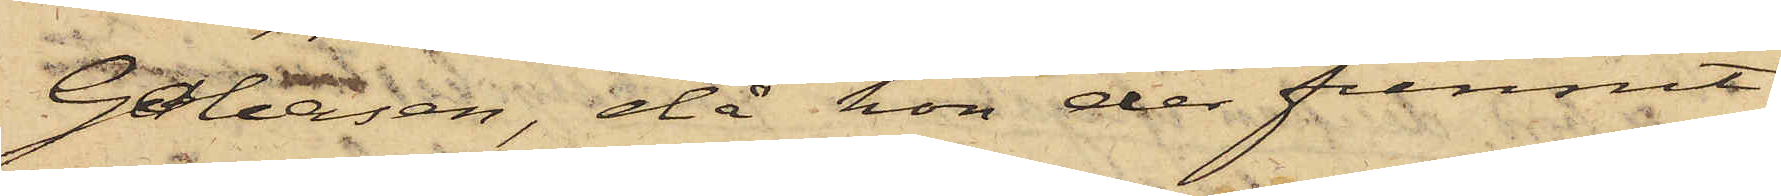Galeasen, då hon der funnit
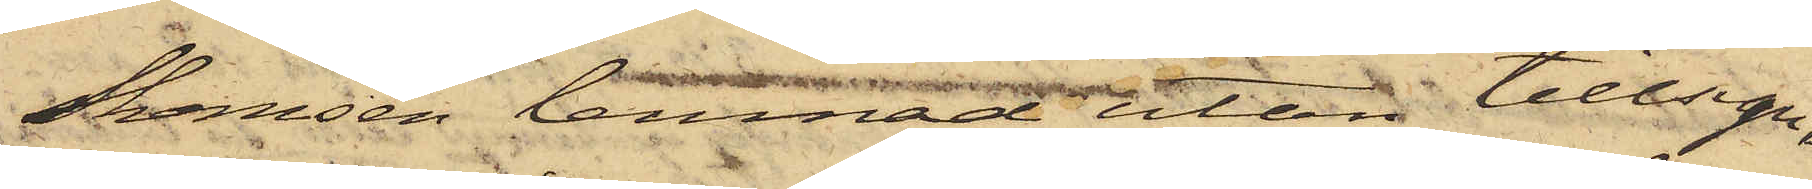Skansen lemnad utan tillsyn,
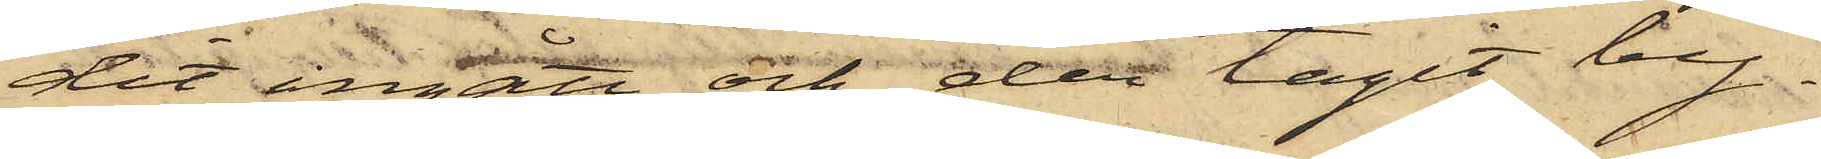dit ingått och der tagit by¬
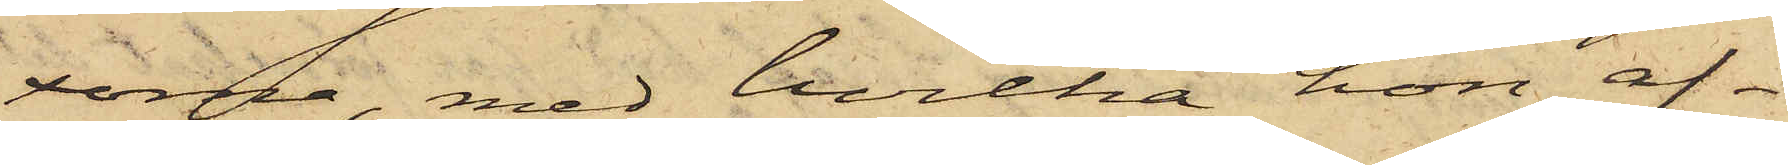xorna, med hvilka hon af¬
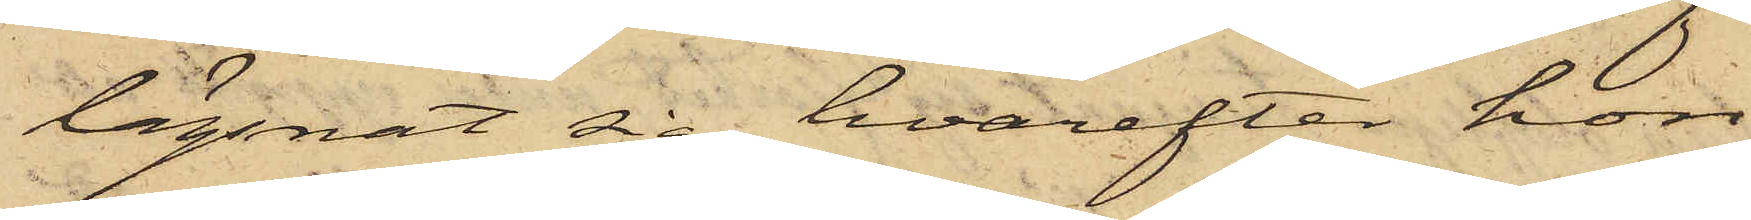lägsnat sig, hvarefter hon
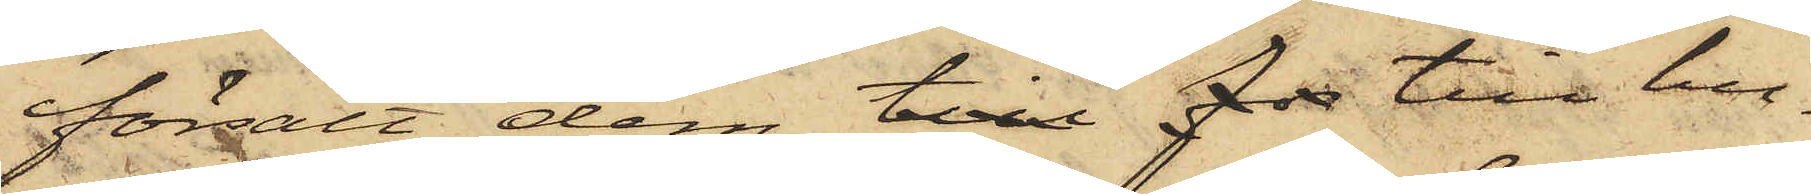försålt dem till for till hu¬
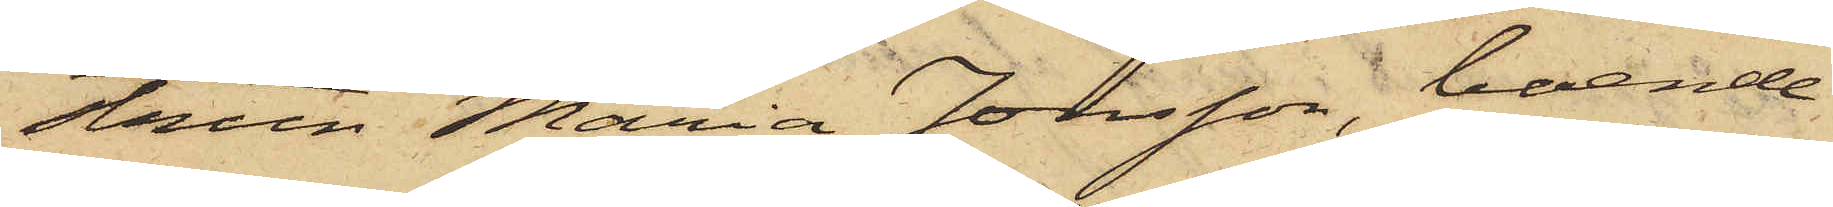strun Maria Jonsson, boende
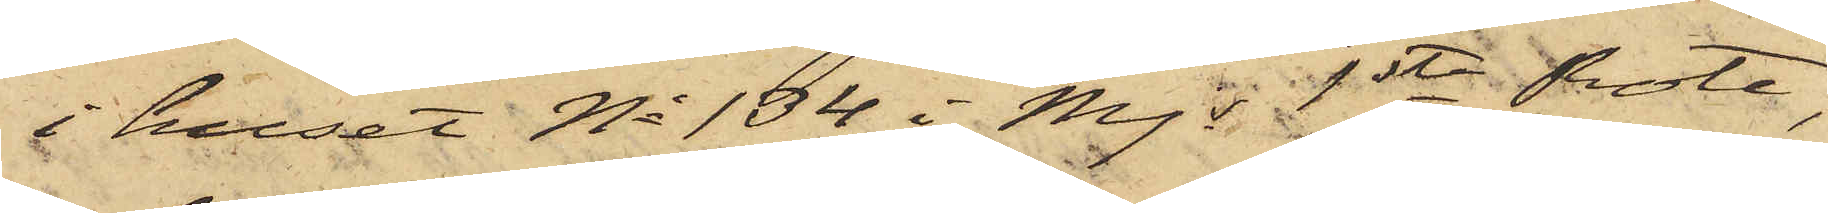i huset No 134 i Mjs 1ste Rote,
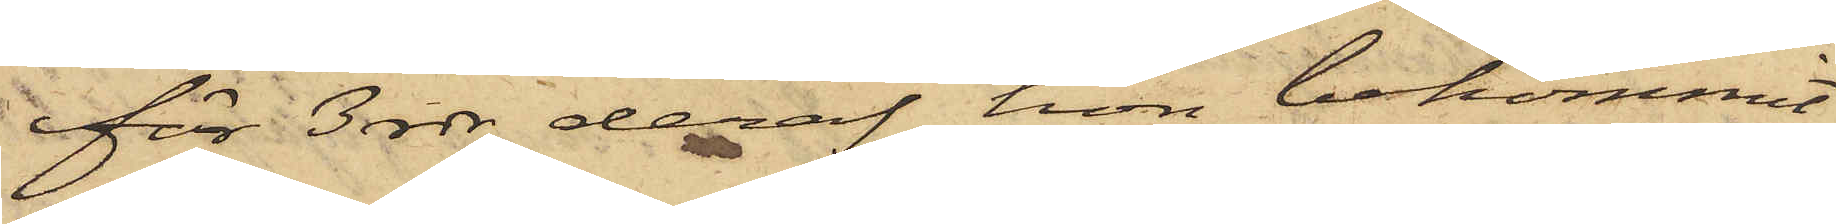för 3 rdr, deraf hon bekommit
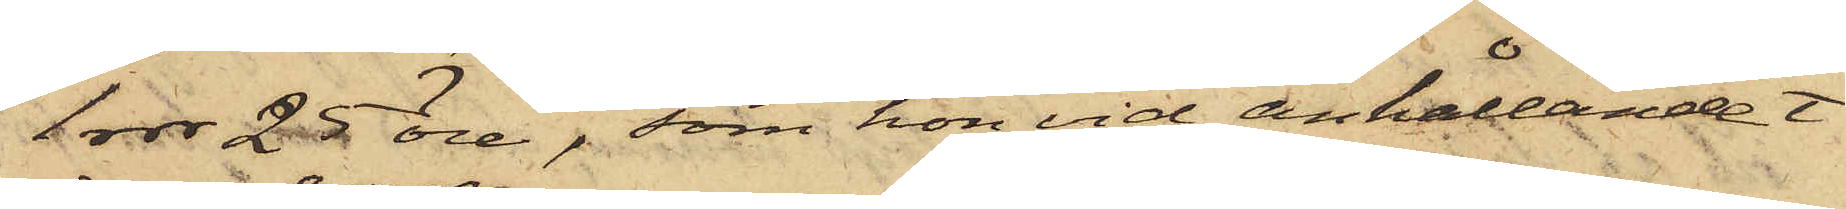1 rdr 25 öre, som hon vid anhållandet
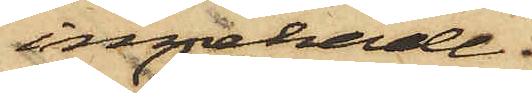innehade.
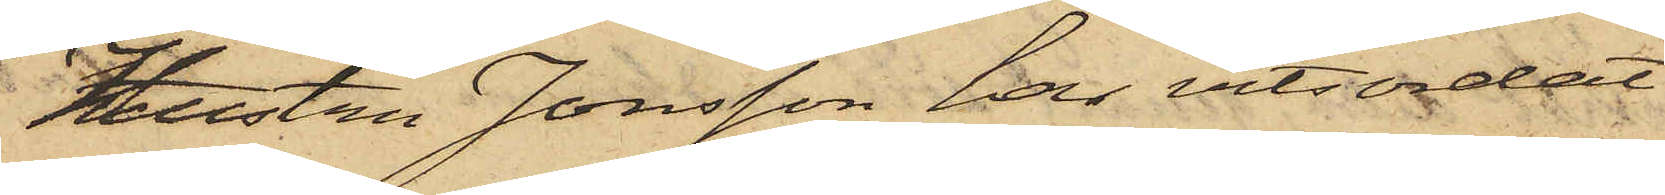Hustru Jonsson har vitsordat
